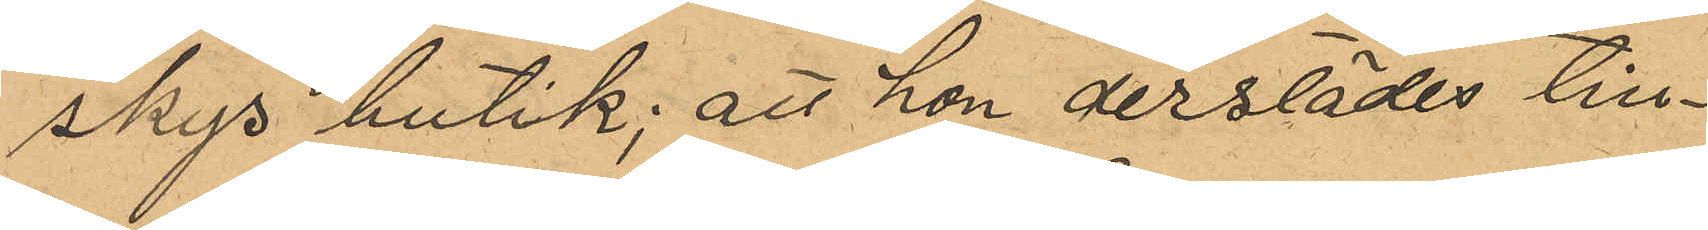skys butik; att hon derstädes till¬
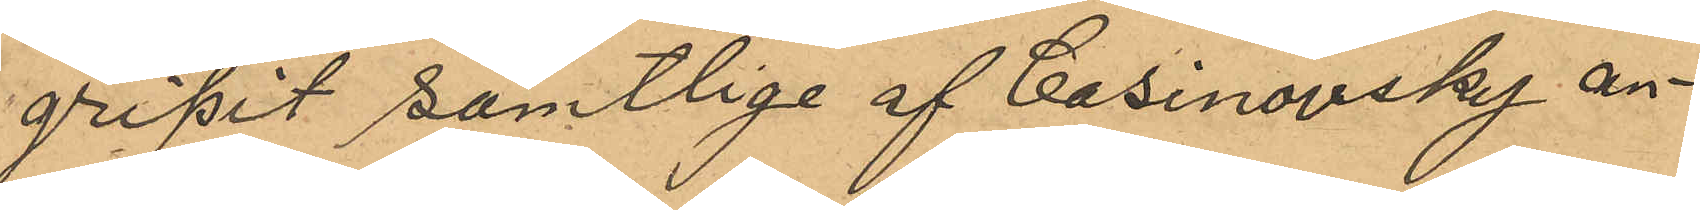gripit samtliga af Casinovsky an¬
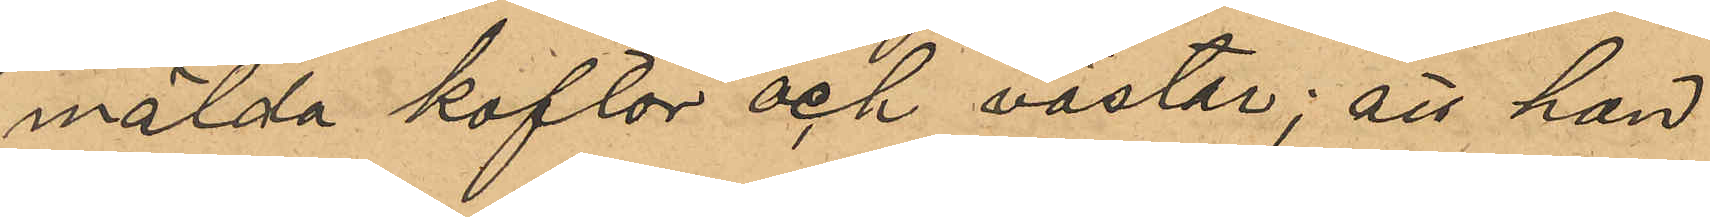mälda koftor och västar; att hon
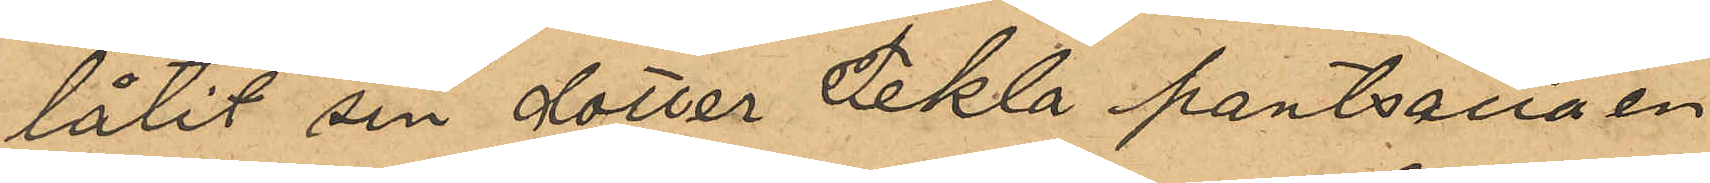låtit sin dotter Tekla pantsätta en
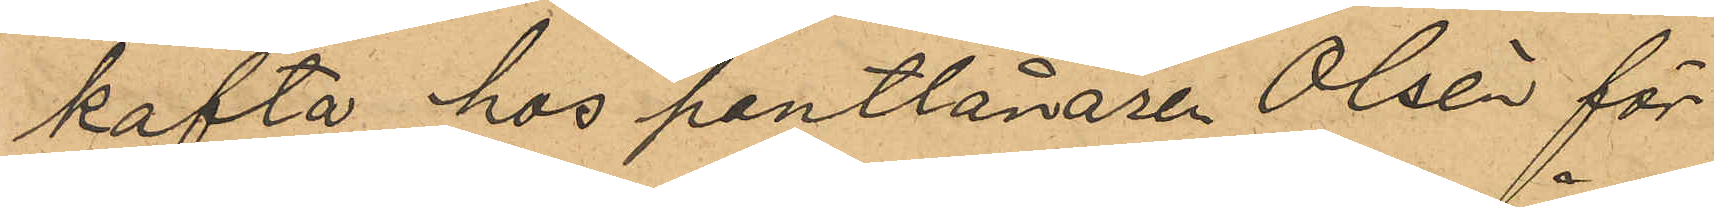kofta hos pantlånaren Olsén för
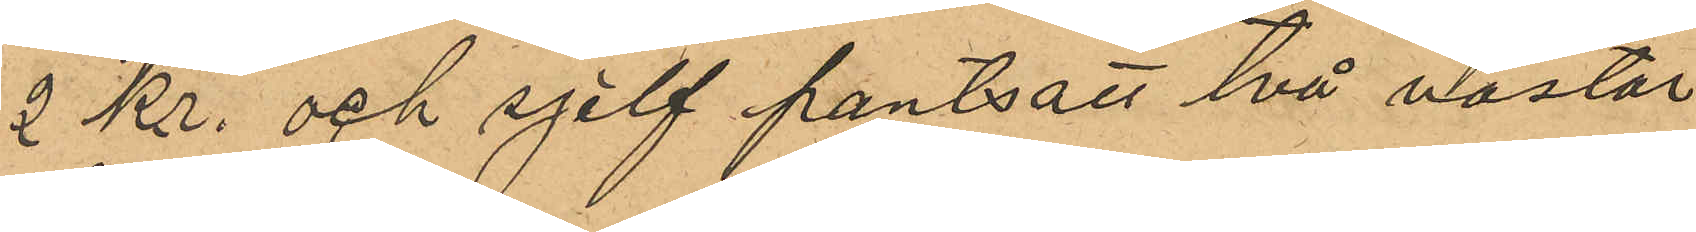2 kr. och sjelf pantsatt två västar
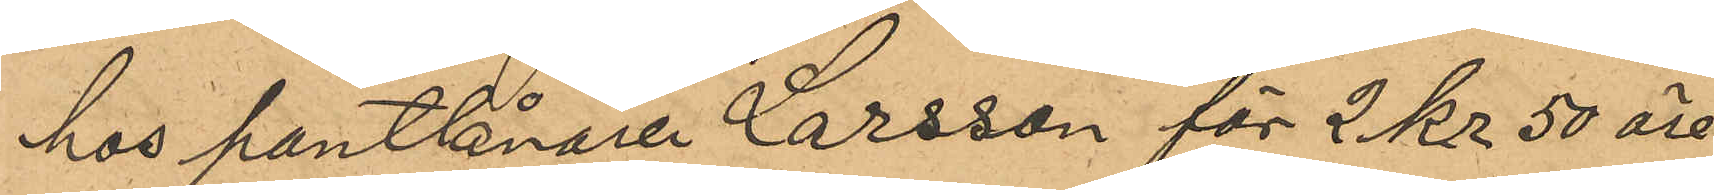hos pantlånaren Larsson för 2 kr. 50 öre
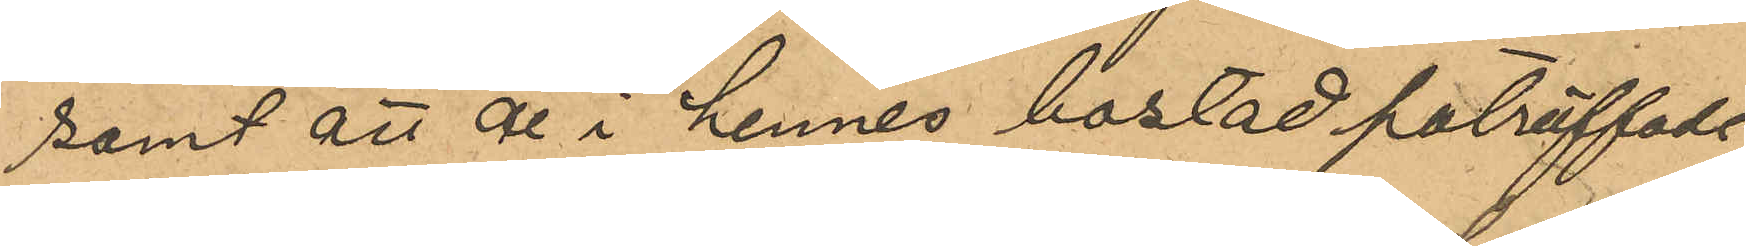samt att de i hennes bostad påträffade
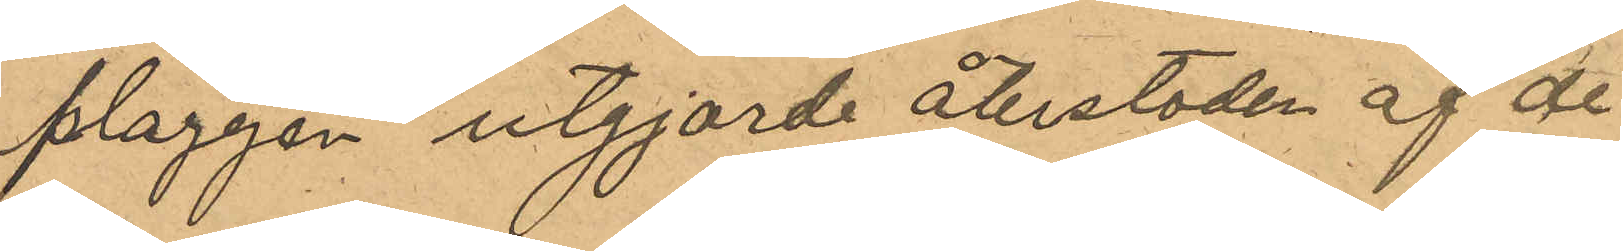plaggen utgjorde återstoden af de
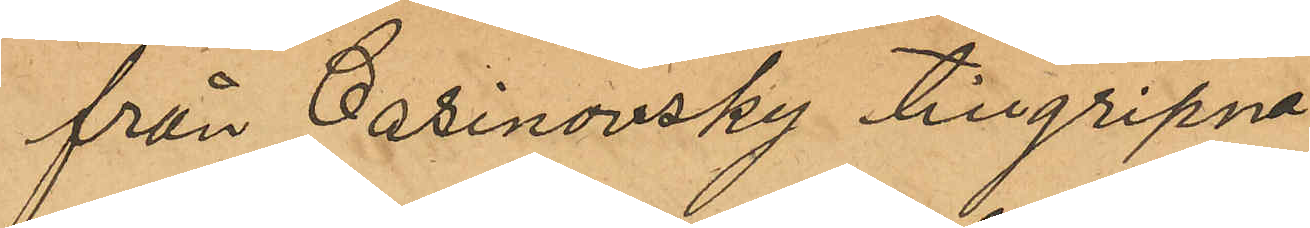från Casinovsky tillgripna.
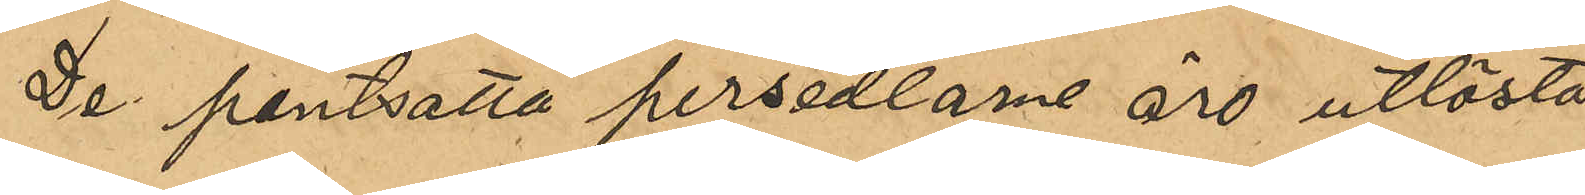De pantsatta persedlarne äro utlösta 
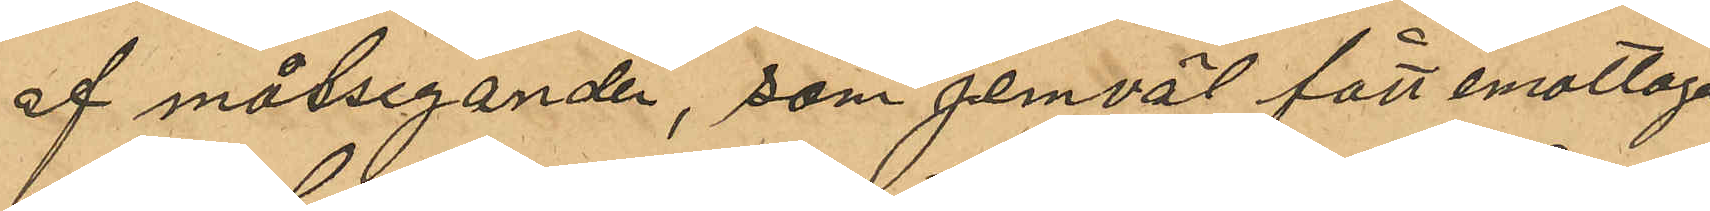af målseganden, som jemväl fått emottaga
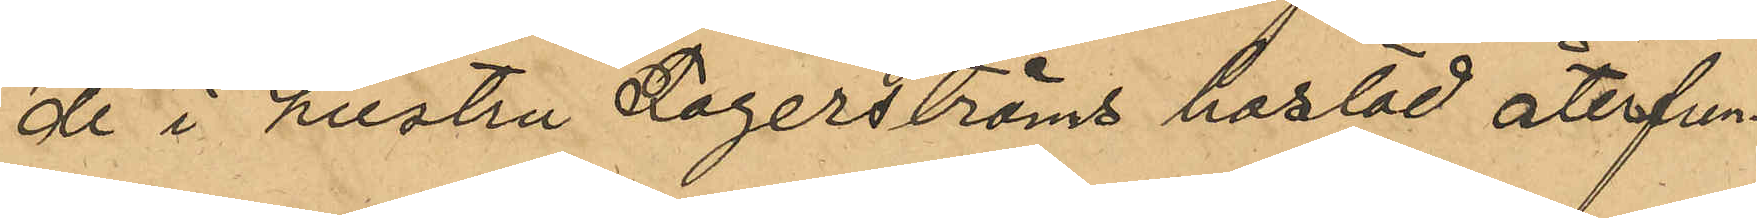de i hustru Fagerströms bostad återfun¬
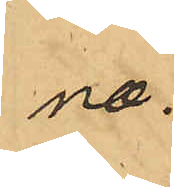na.
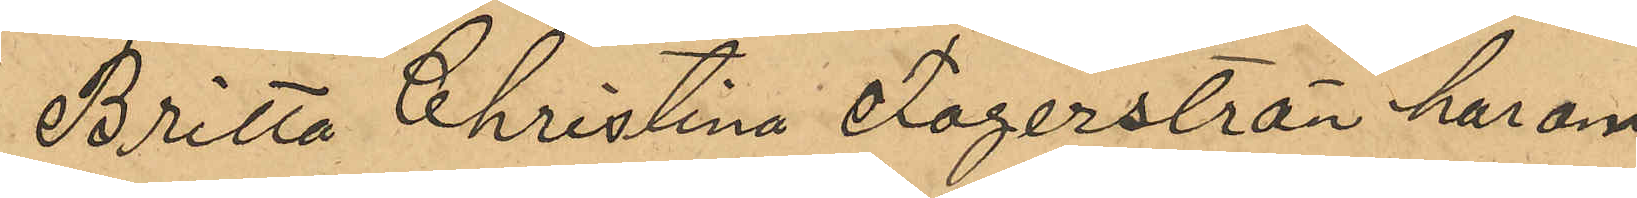Britta Christina Fagerström har om
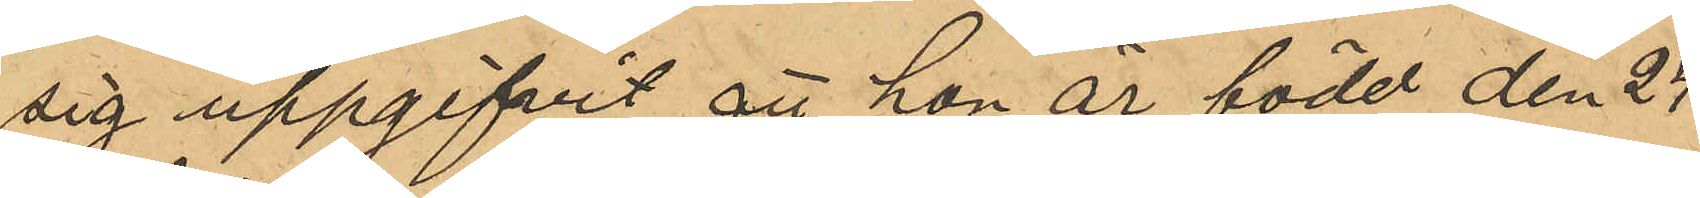sig uppgifvit att hon är född den 24
